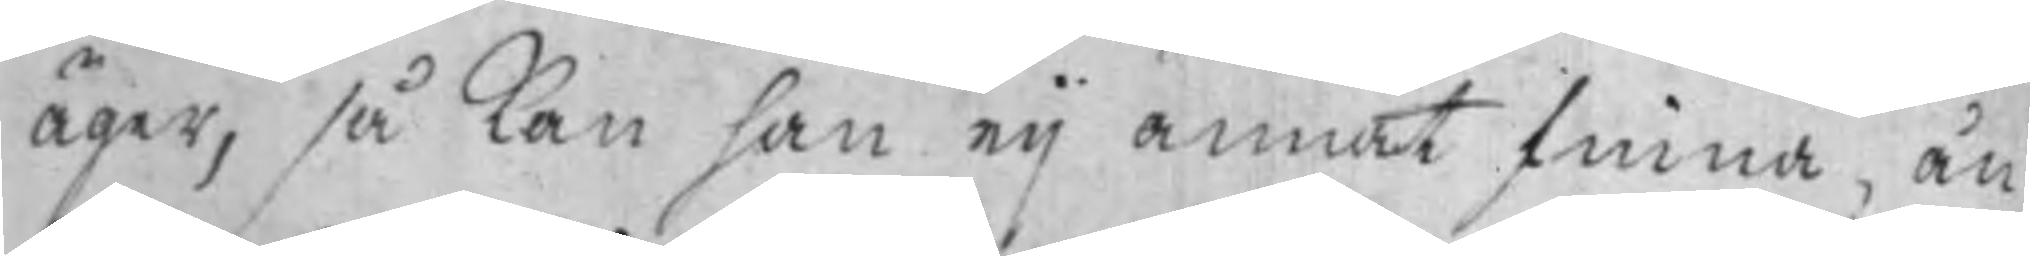äger, så kan han eij annat finna, än
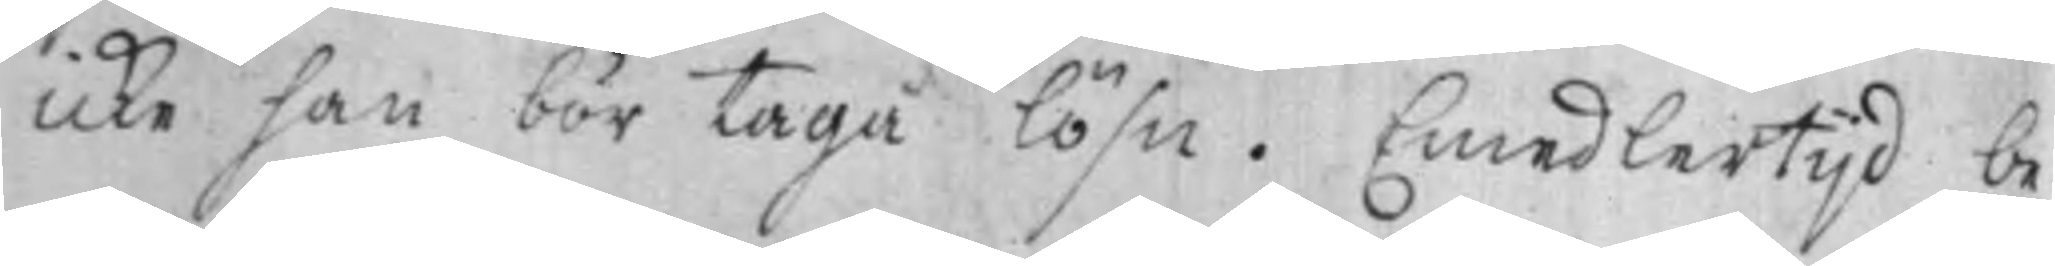icke han bör taga lösn. Emedlertijd be¬
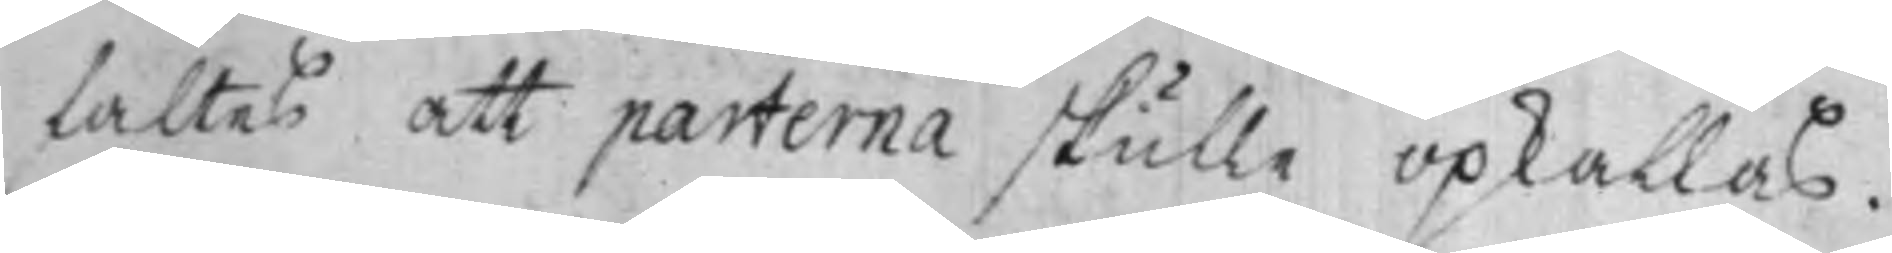faltes att parterna skulle opkallas.
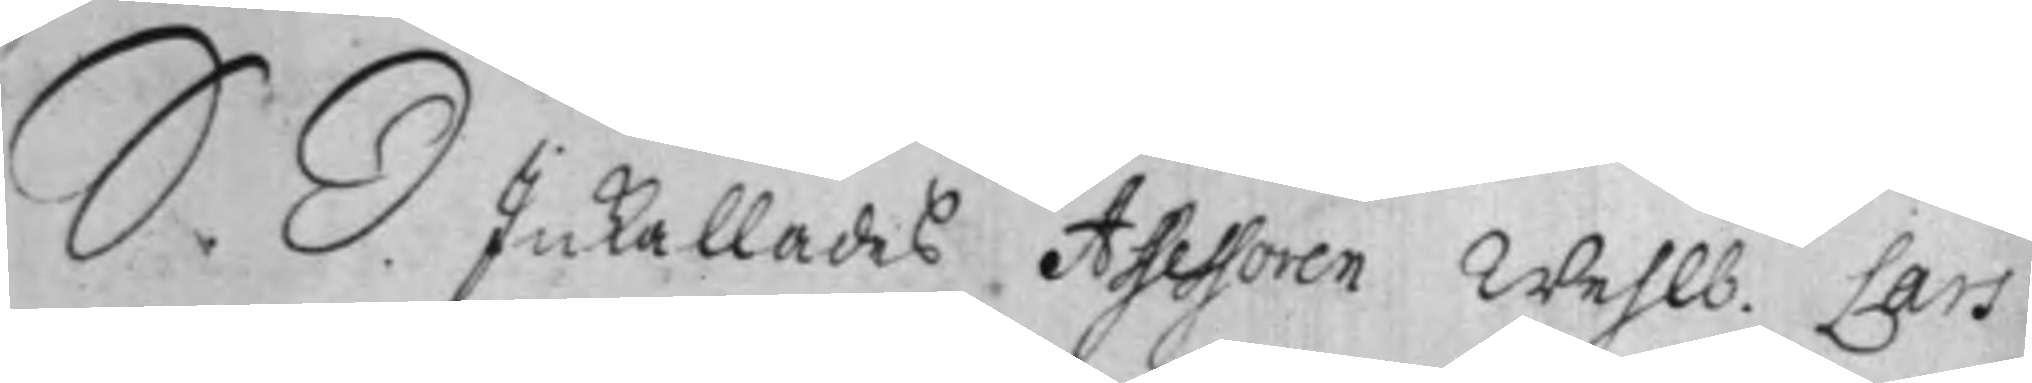S. D. Inkallades Assessoren Wehlb. Lars
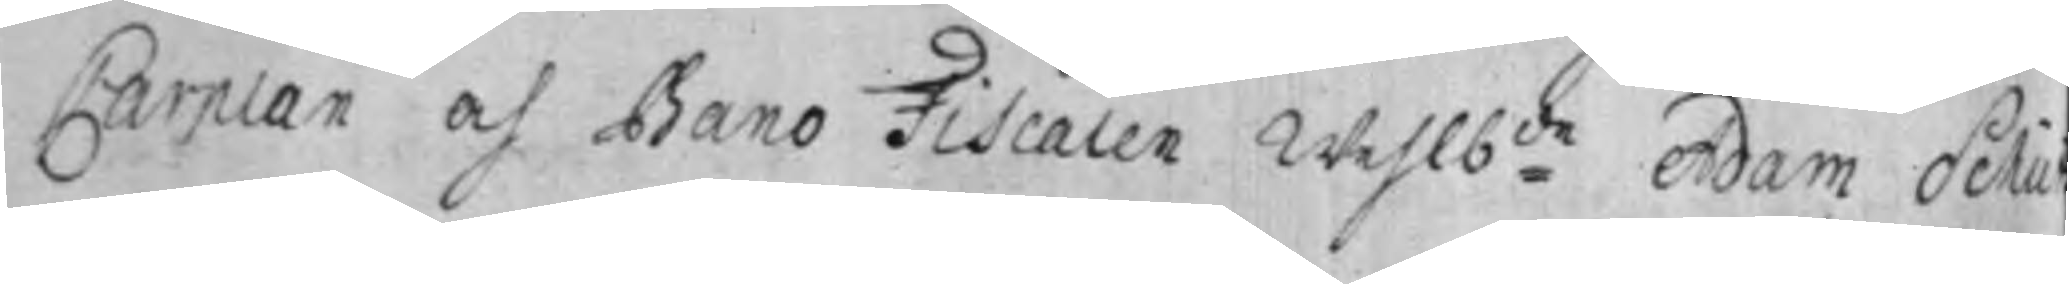Carplan och Bano Fiscalen Wehlb:de Adam Schu
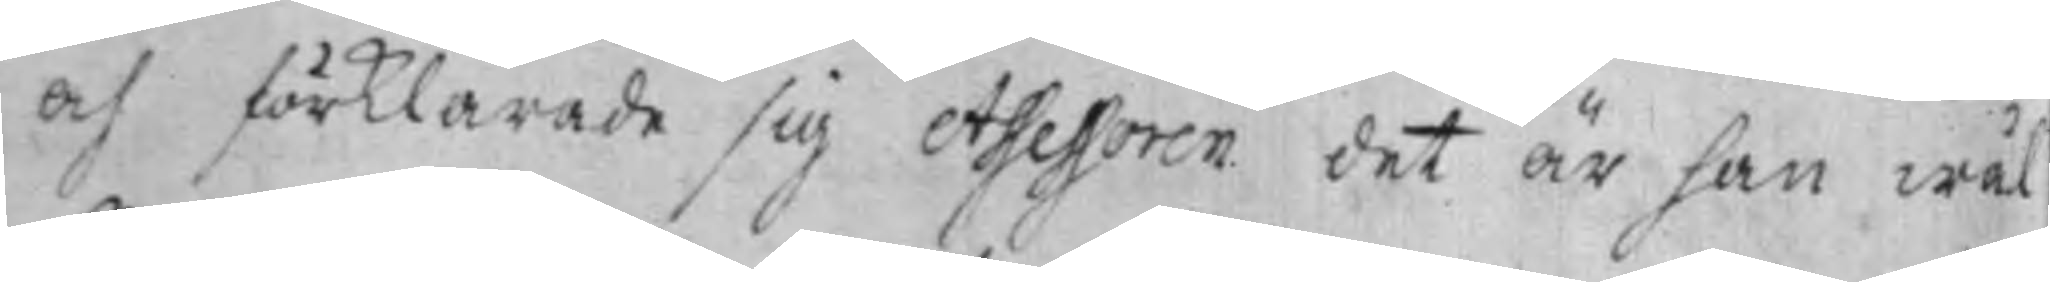och förklarade sig Assessoren det är han wäl
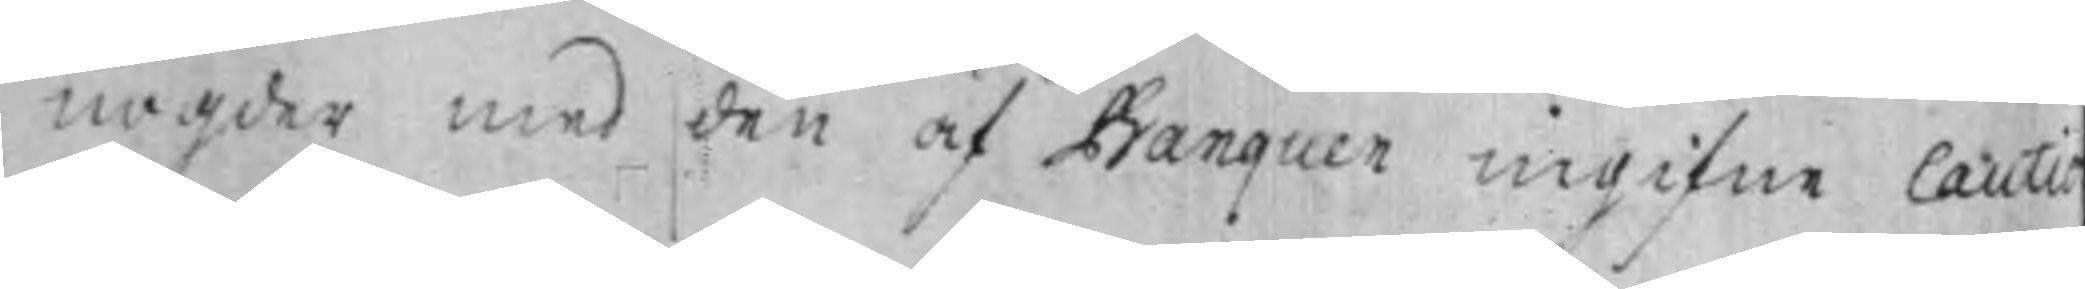nögder med den af Banquen ingifne Cauti
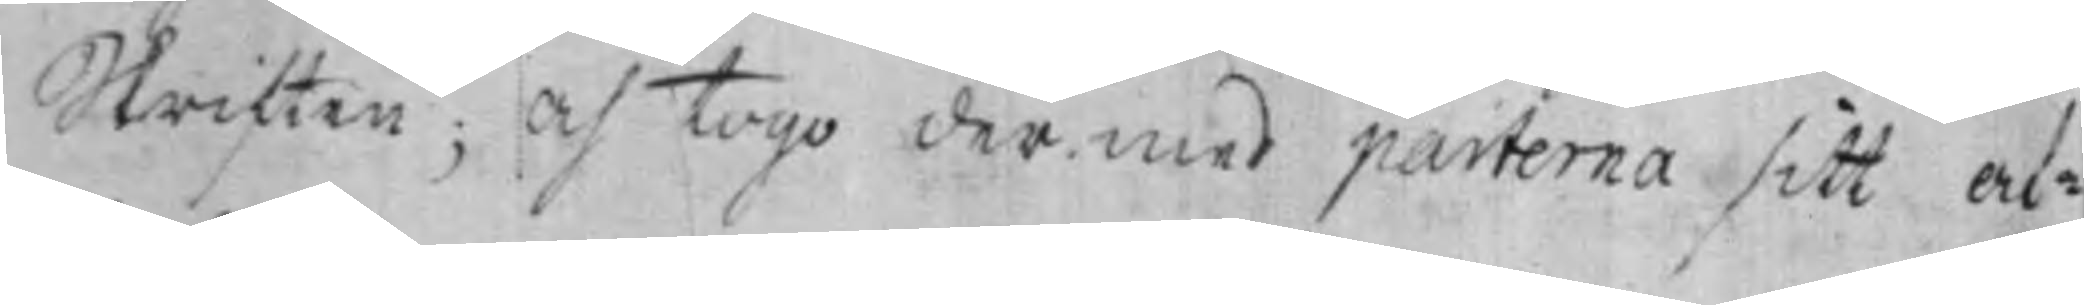Skriften; Och togo dermed parterna sitt af¬
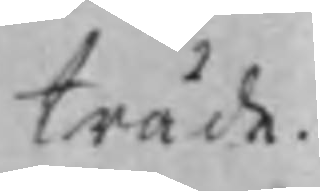träde.
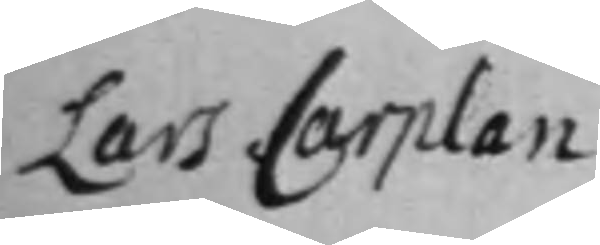Lars Carplan
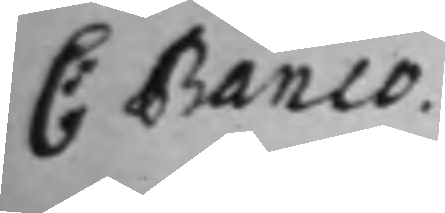C: Banco.
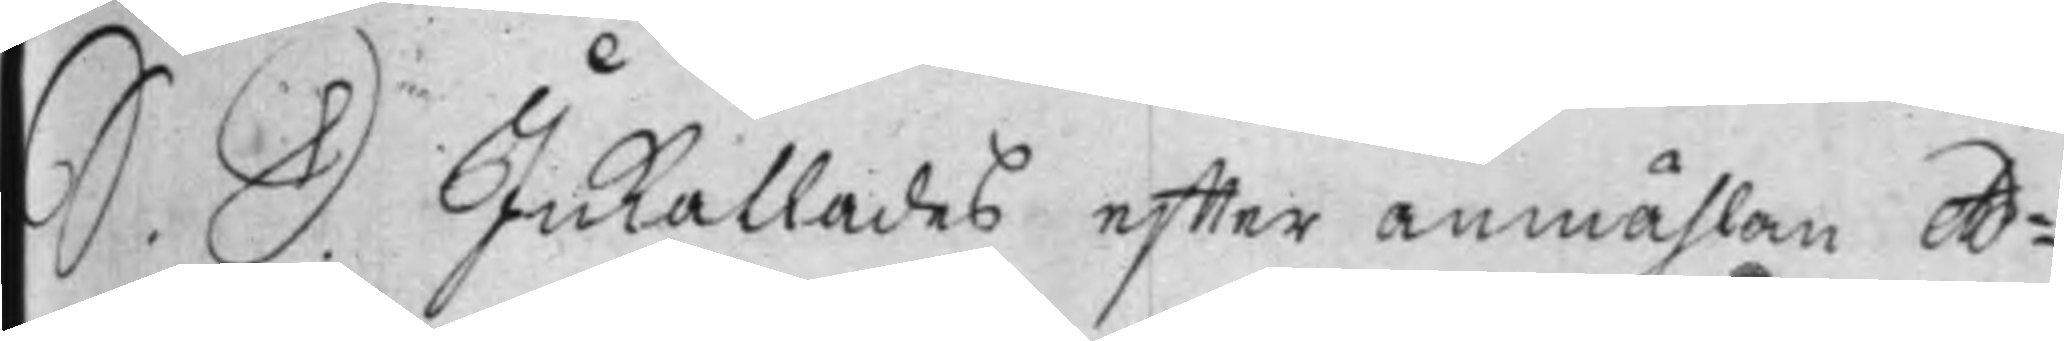S. D. InKallades effter anmählan Ad¬
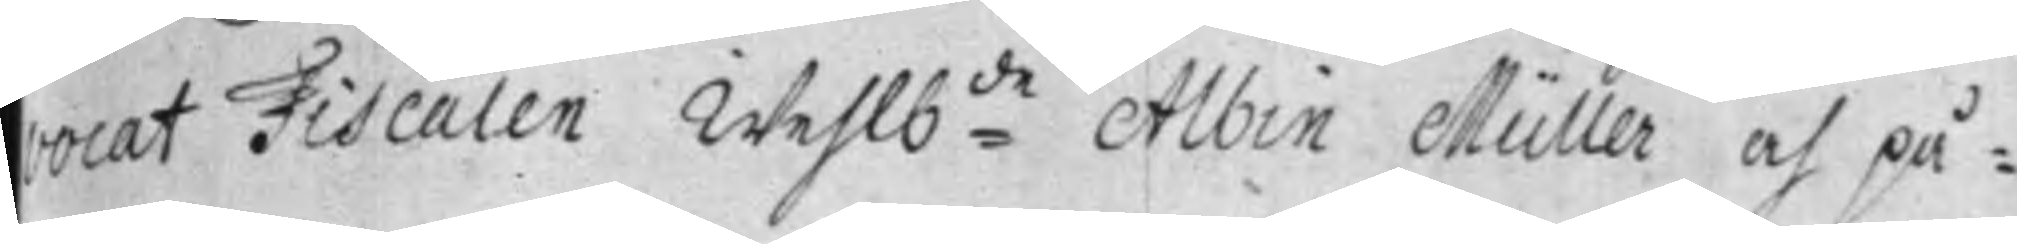vocat Fiscalen Wehlb:de Albin Müller och på¬
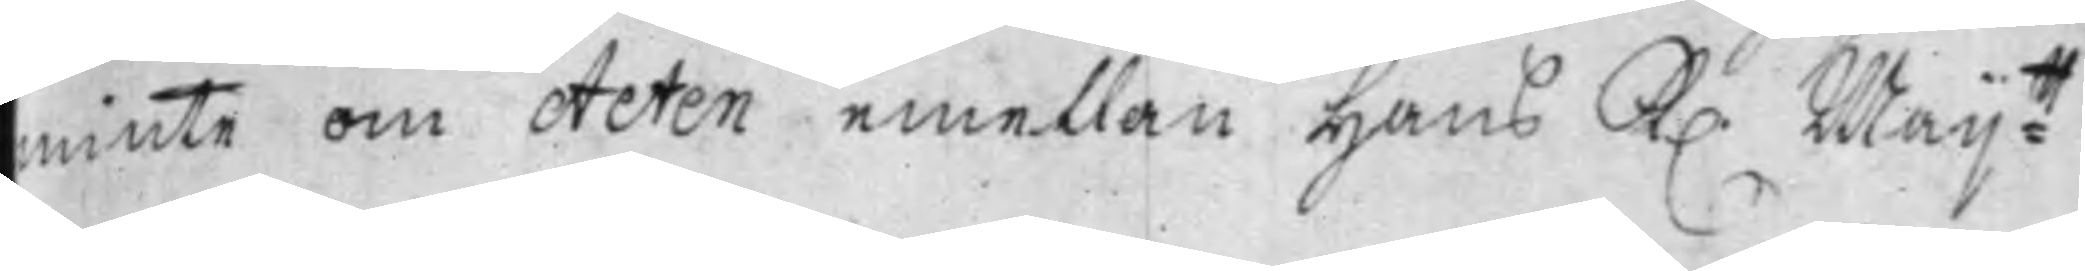minte om Acten emellan Hans K. Maij:tt
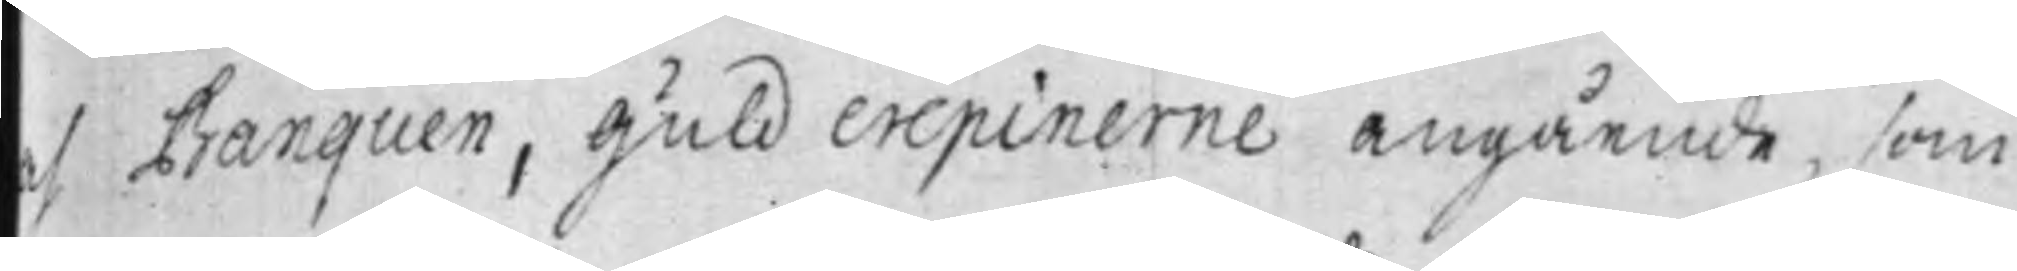ch Banquen, Guld crepinerne angående, som
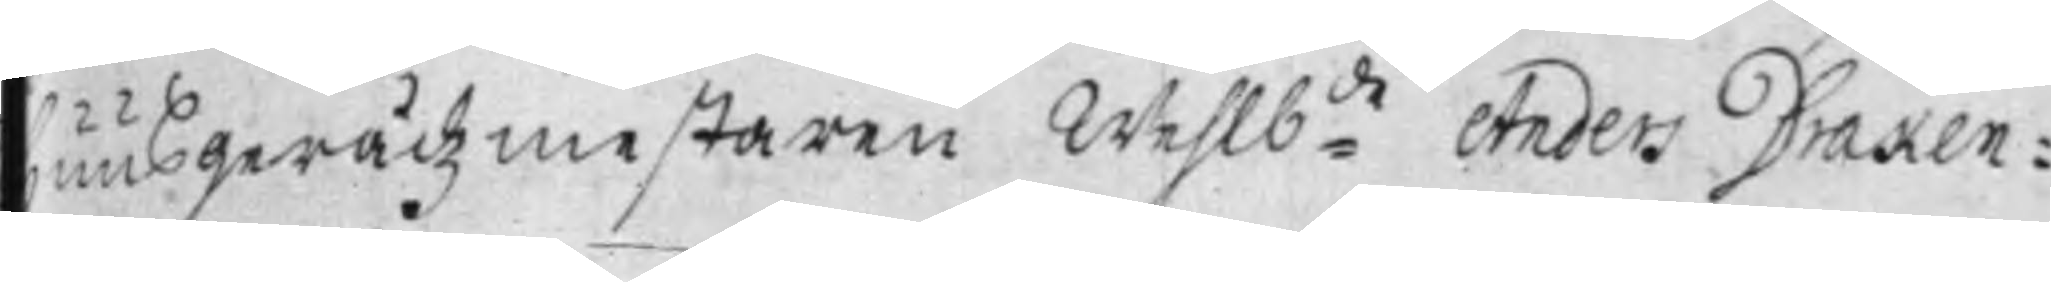huusgerådzmestaren Wehlb:de Anders Draken¬
